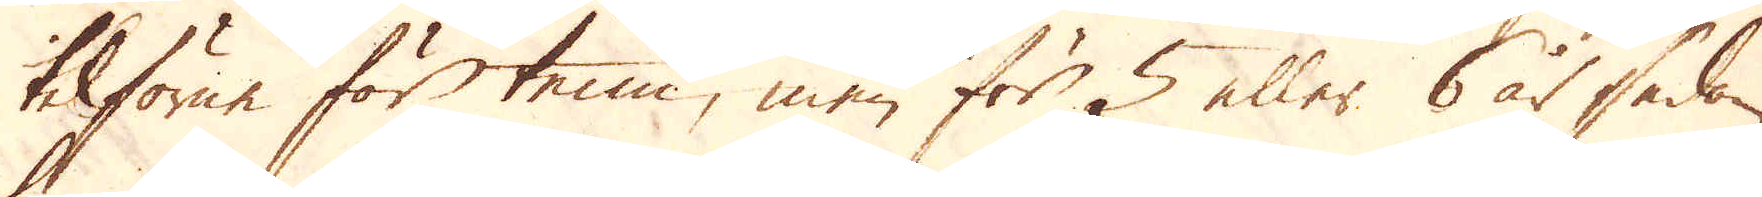tilförne för tenn, men för 5 eller 6 år sedan
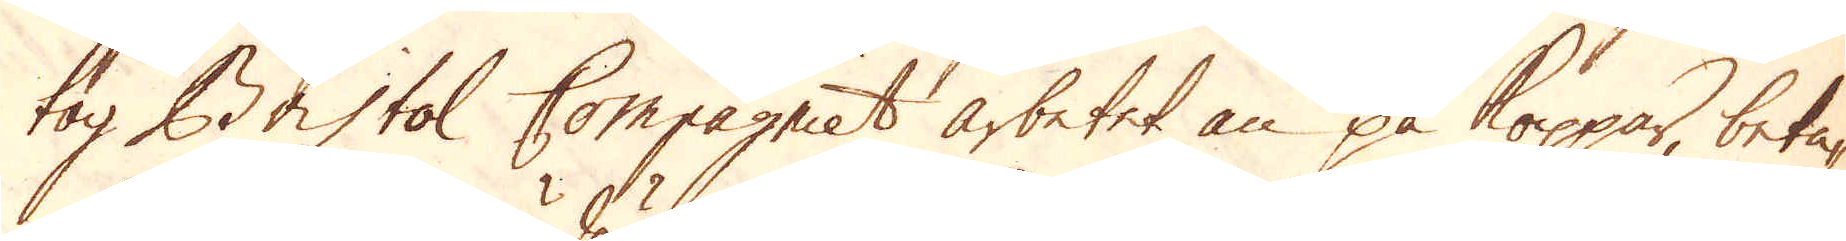tog Bristol Compagniet arbetet än på koppar, beta-
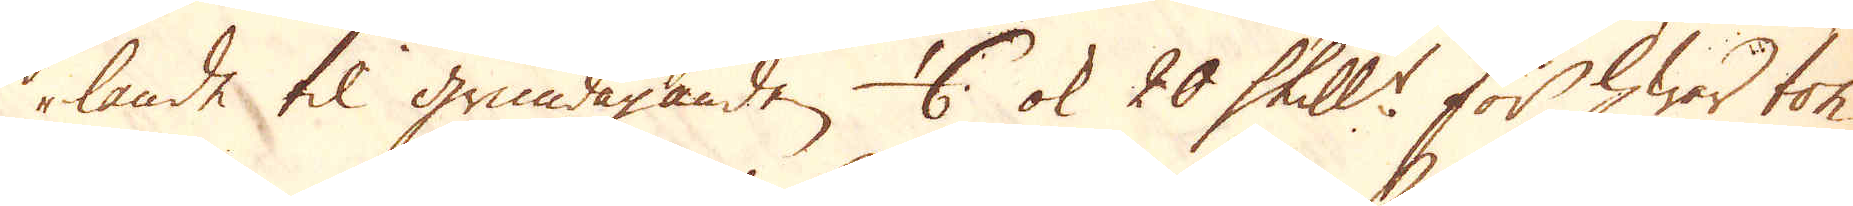lande til grundäganden 4 ok 20 Skill:r för hwar ton
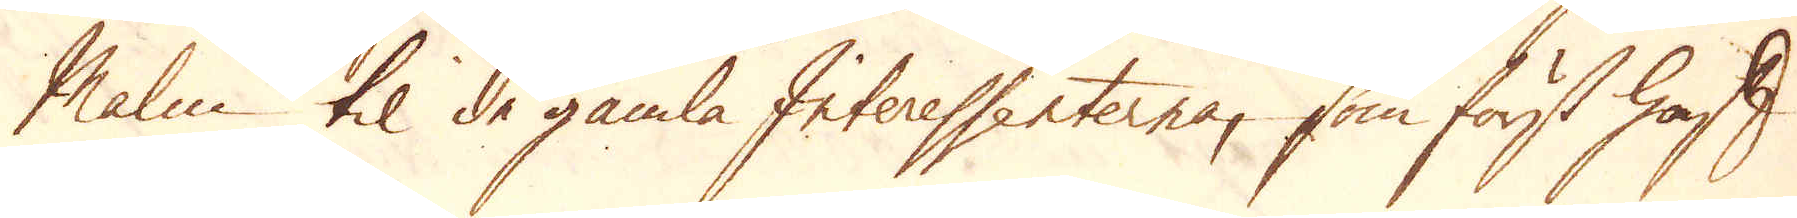Malm til de gamla Interessenterna, som först haft
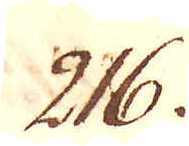216.
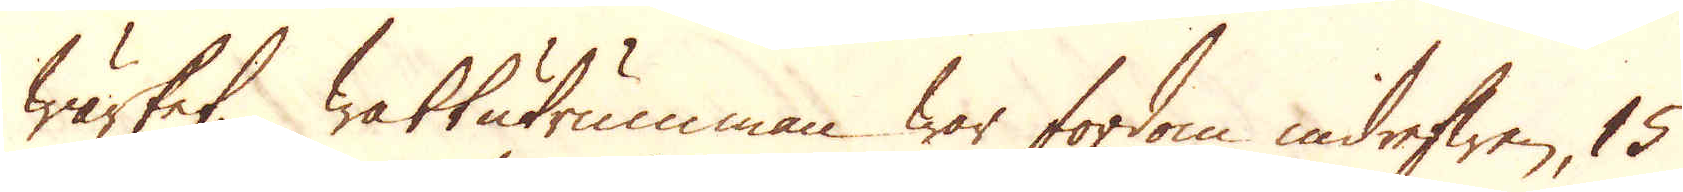wärket. Wattutrumman war fordom indrefwen, 15
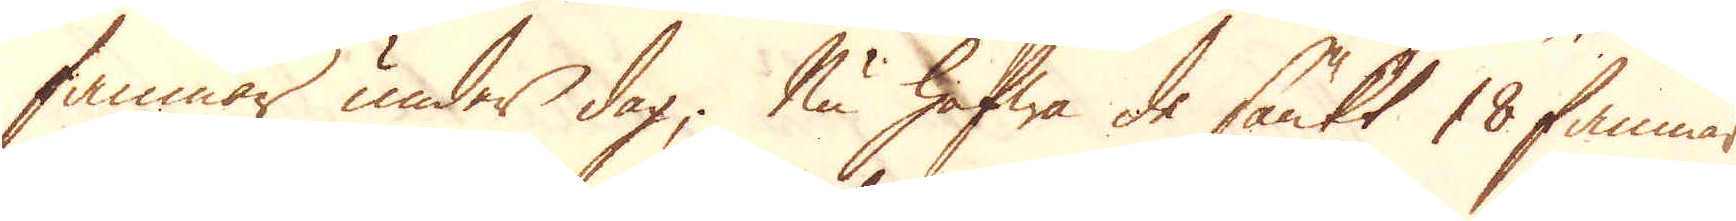famnar under dag; Nu hafwa de sänkt 18 famnar
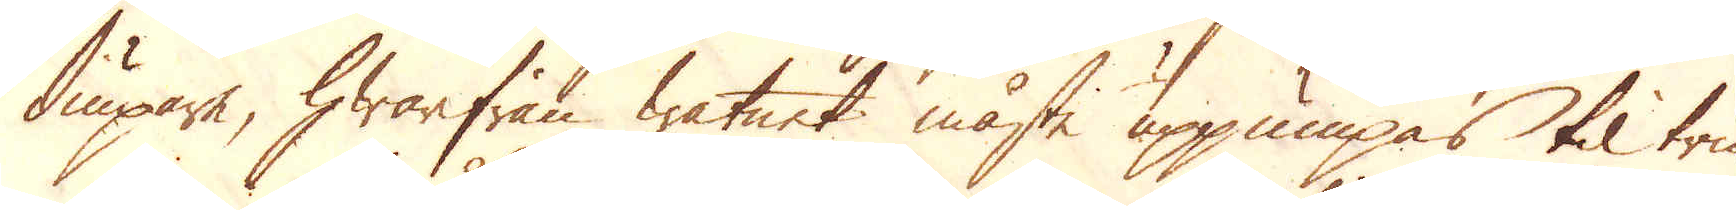diupare, hwarifrån watnet måste uppumpas til tru-
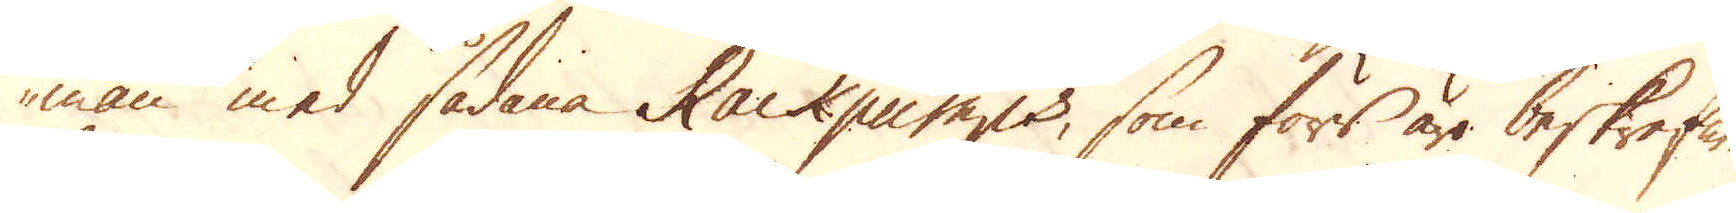man med sådana Rackpumps, som förr äro beskrefne.
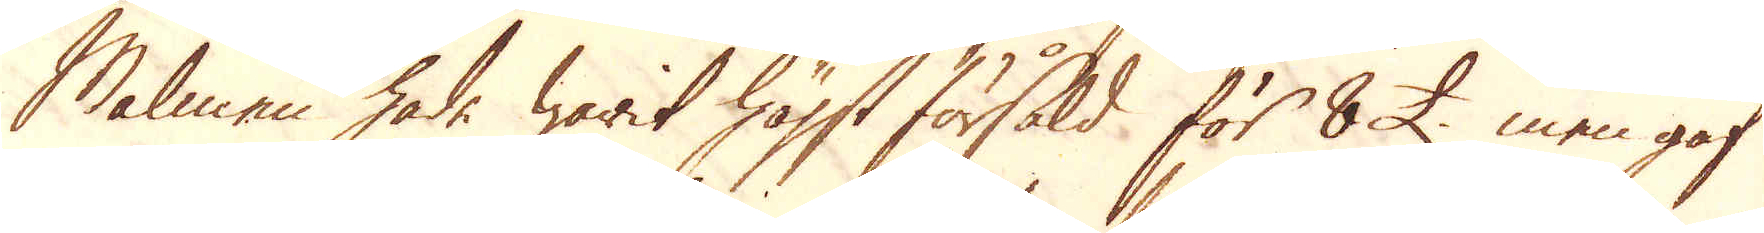Malmen hade warit högst försåld för 8 £. men gaf
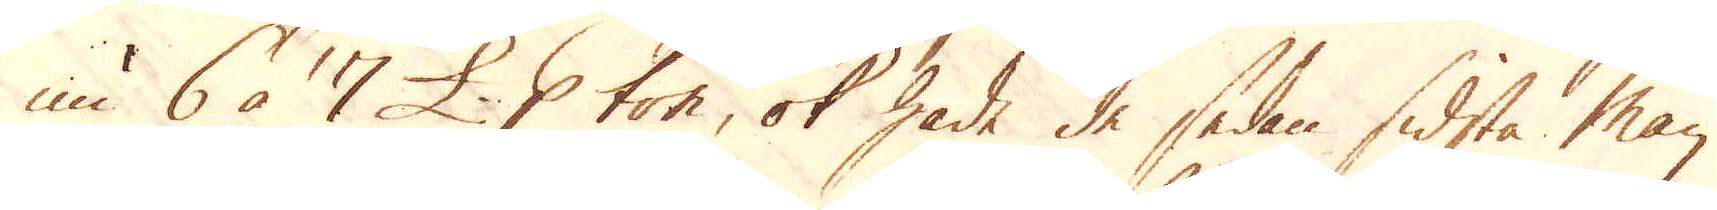nu 6 à 7 £. p ton, ok hade de sedan sidsta Maij
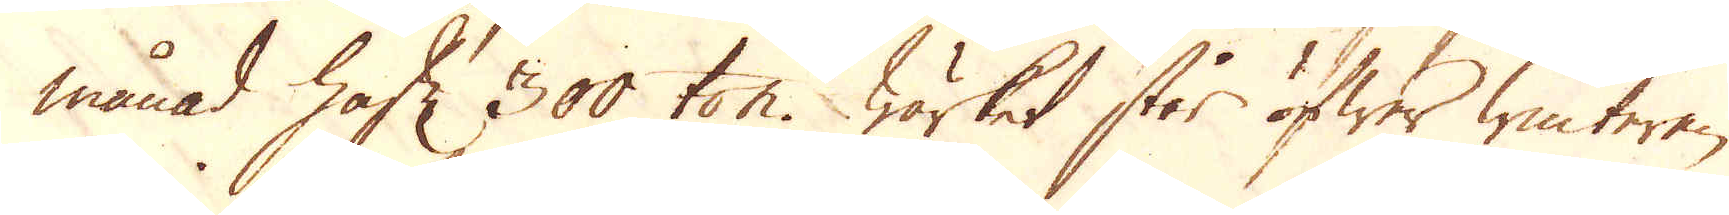månad haft 300 ton. Wärket står öfwer winteren
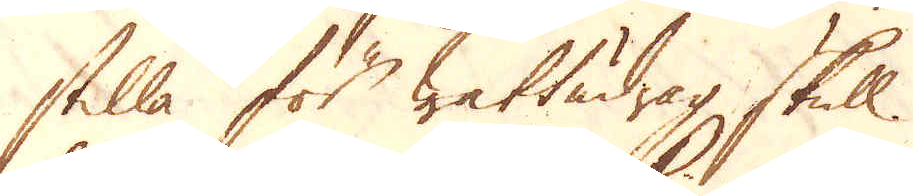stilla för wattudrag skull.
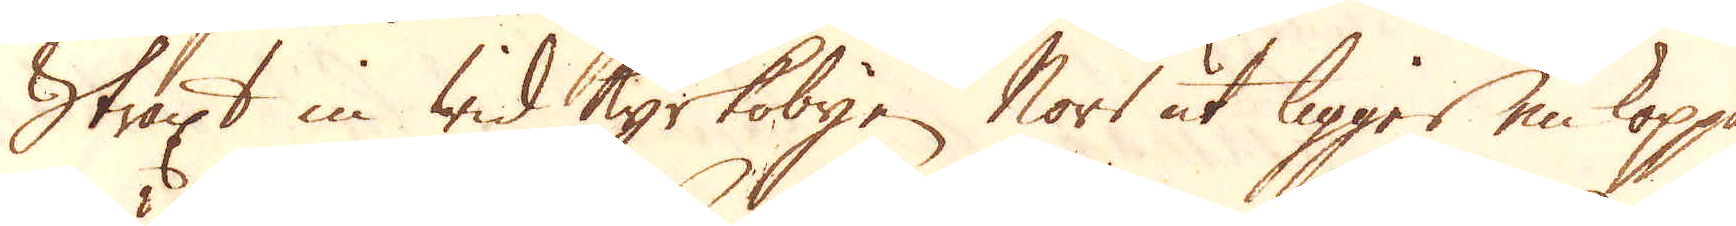Straxt in wid Kyrkobyen Norr ut ligger en koppar-
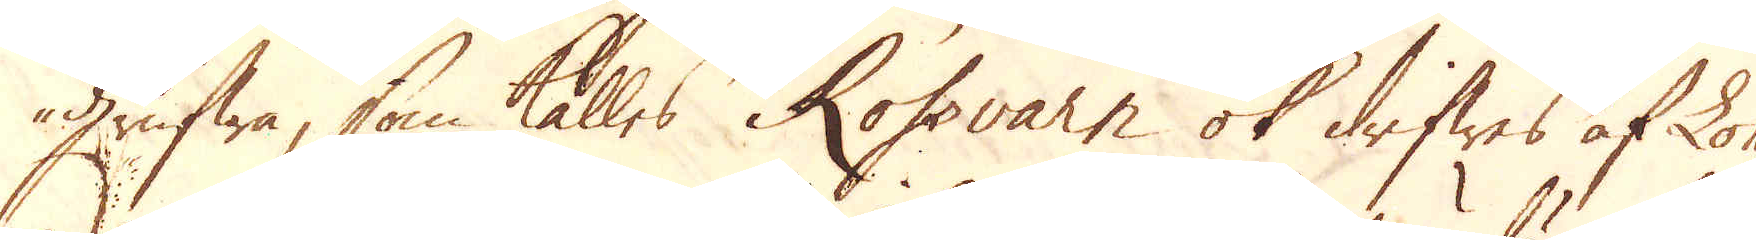grufwa, som kalles Rossvarn ok drifwes af Lo-
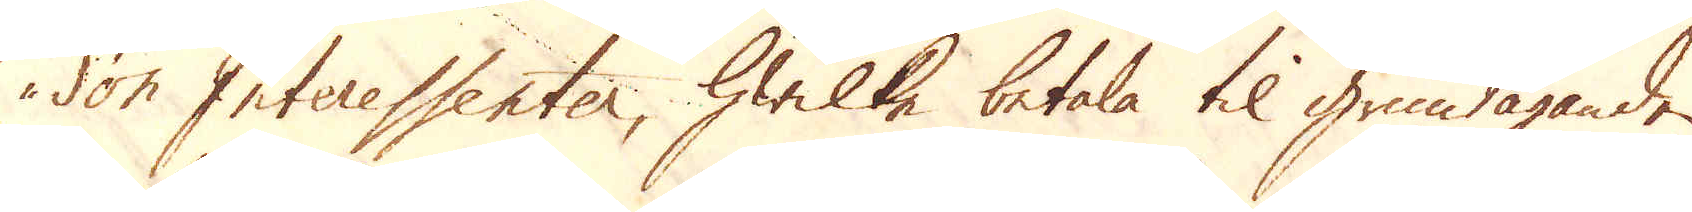don Interessenter, hwilke betala til grundäganden
